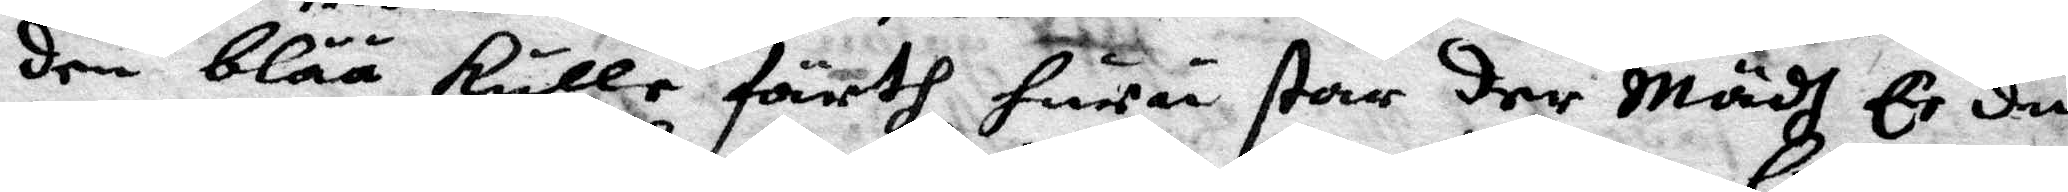den blåå kulle förth huru star der Mädh Er du
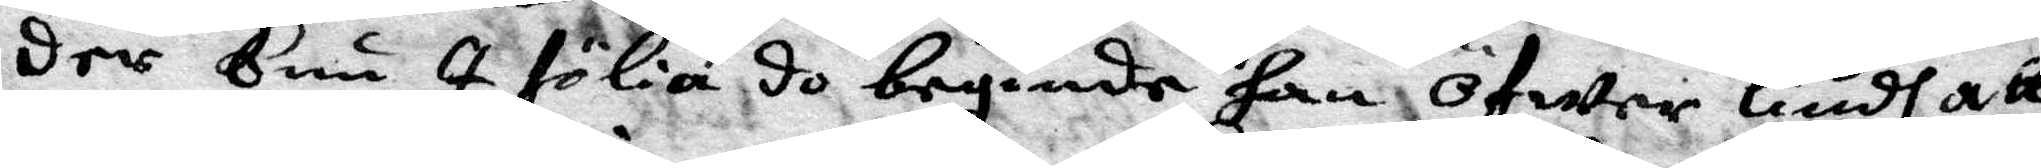der Eni I fölie do begginde han öfwer liudh att
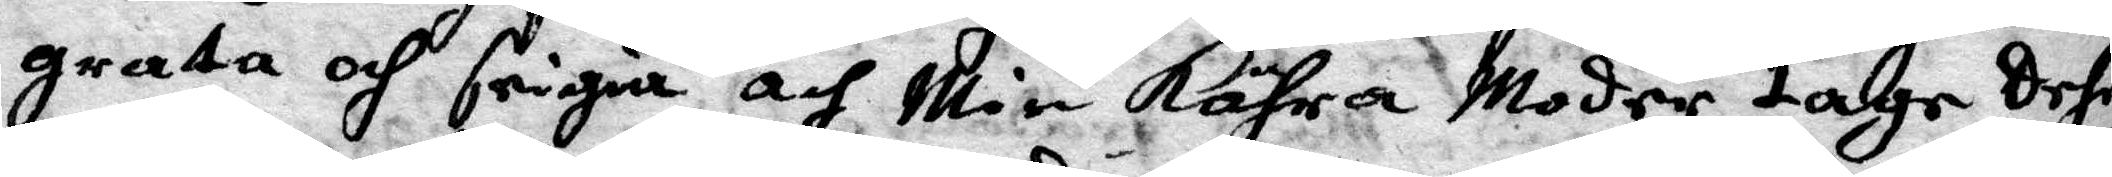grata och seigiaoch Min kähra Moder tage dehr
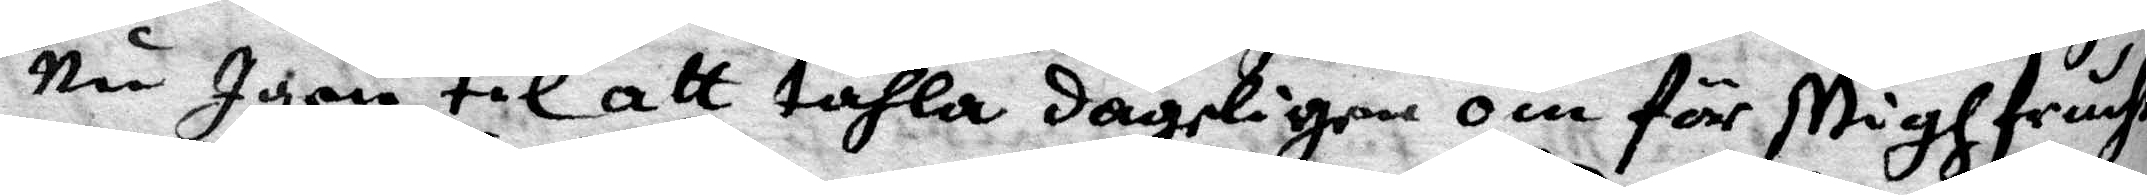Nu Igen til att tähla dägeligen om för Migh fruchte
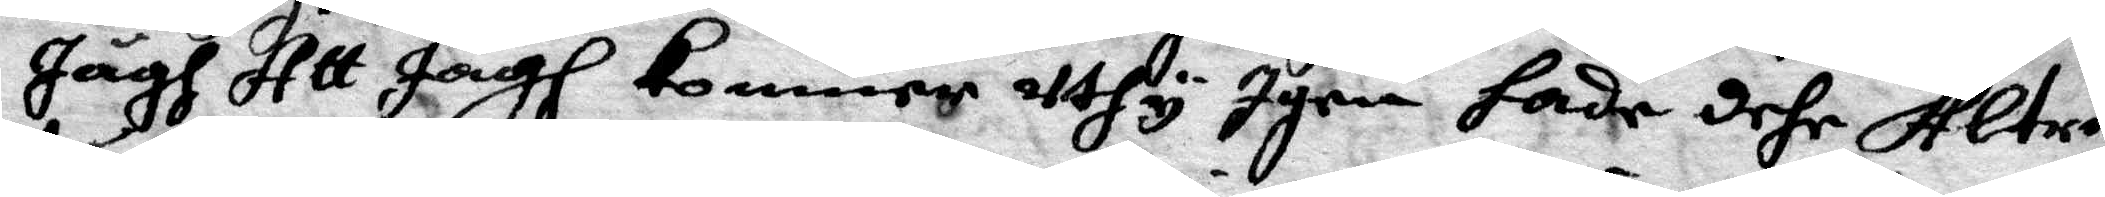Jägh Att Jägh kommer uthy Igen hade dehr Altrig
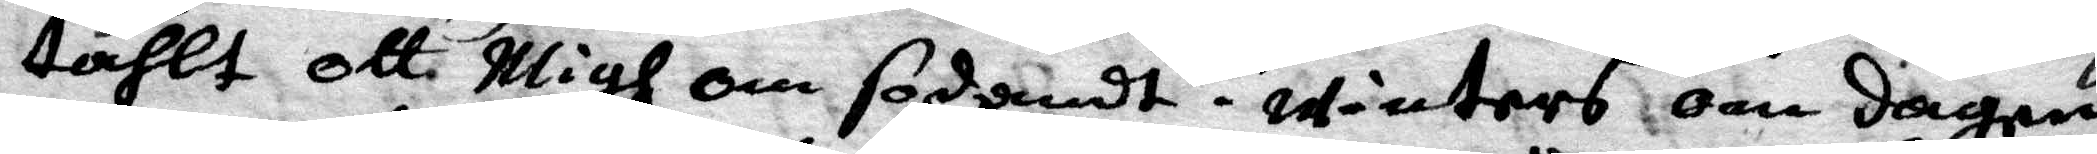tählt att Migh om soddandt i wintras om dagen
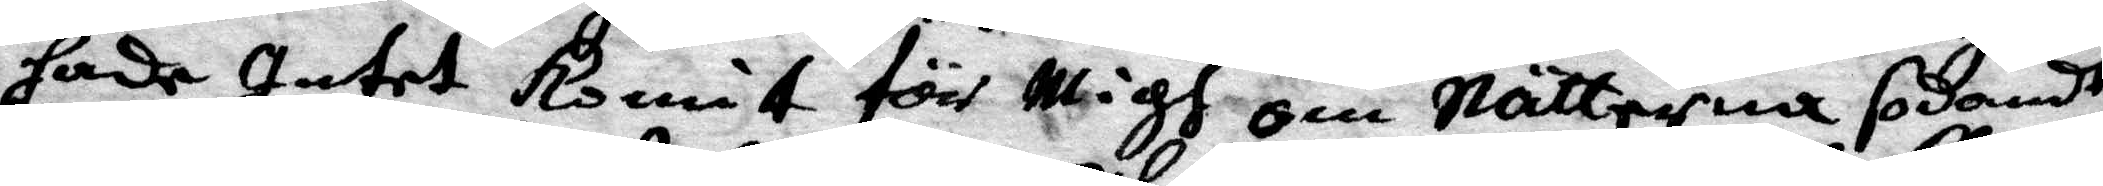hade Intet komit för Migh om Nätterna sodandt
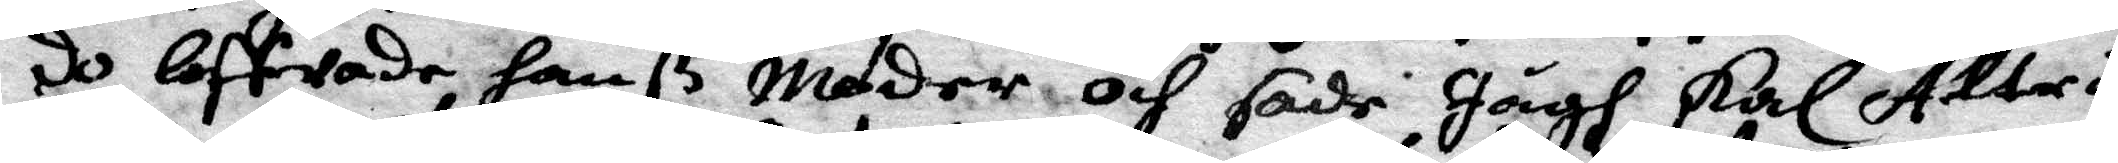do loffwade hanß Moder och sade Jägh skal Altrig
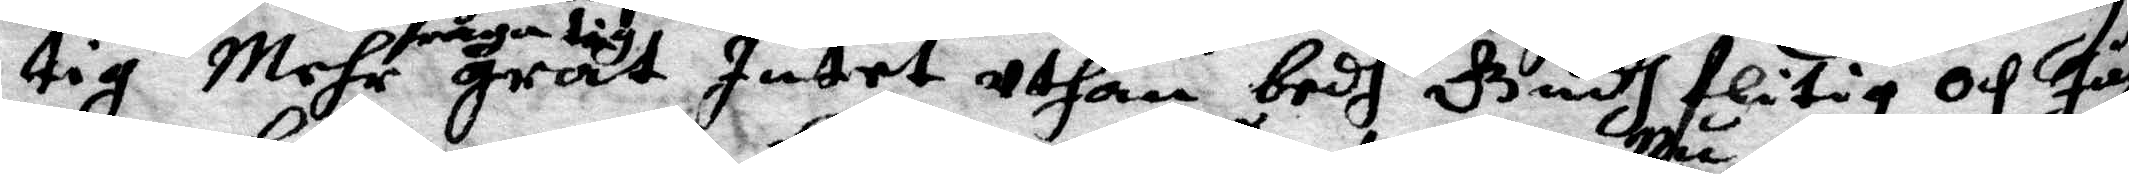tig Mehr fraga tig grat Intet uthan bedh Gudh flitig och Jägh
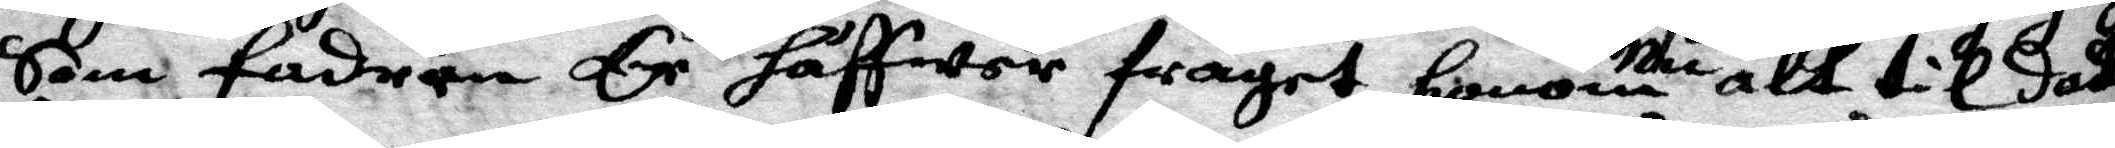som fadern Er häffwer frågat honom nu alt til dato
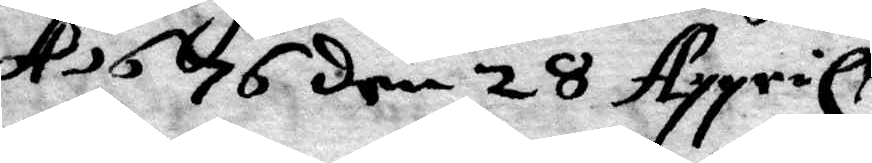A 1676 den 28 Appril
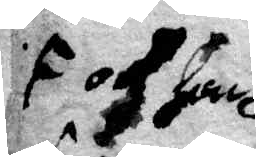och han
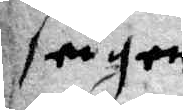frågers
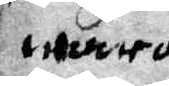wara
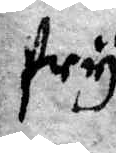fry
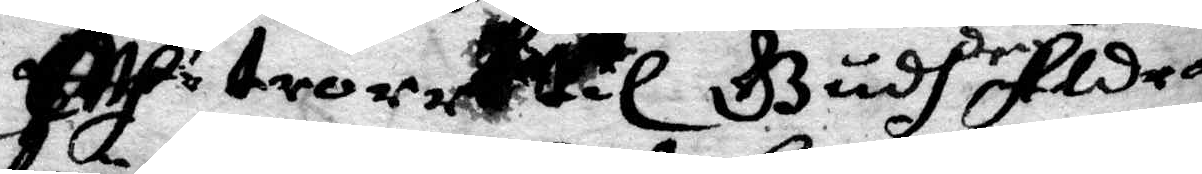och trorr till Gudh Aldra
